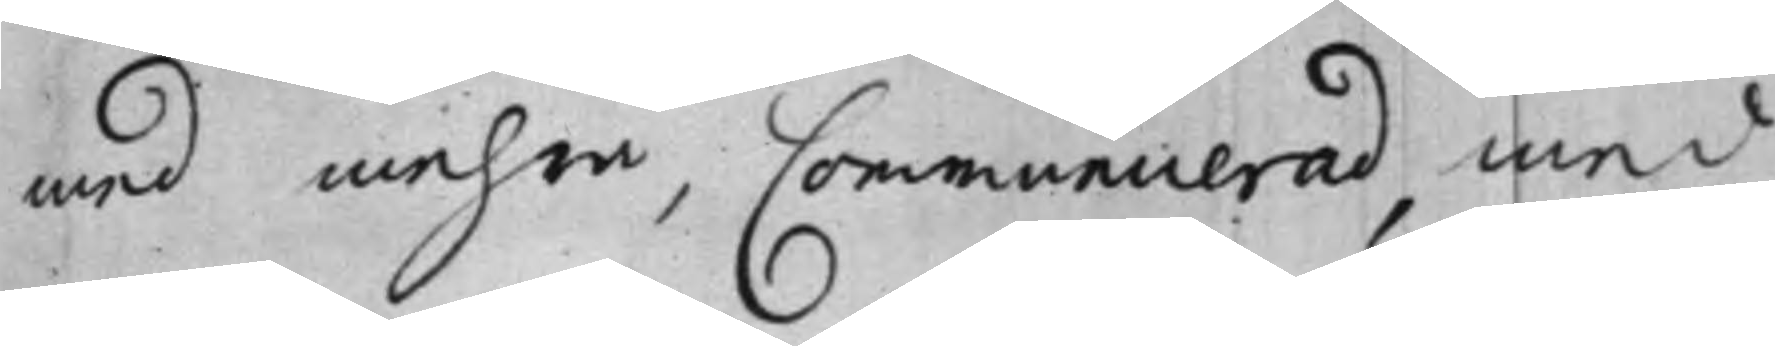med mehra, Communicerad, med
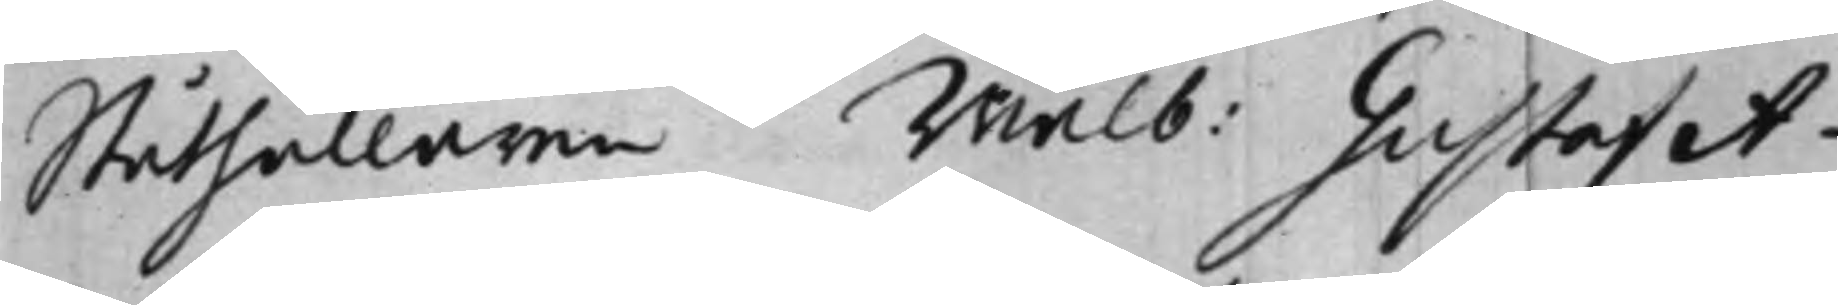Ståthållaren Wälb: Gustaf A¬
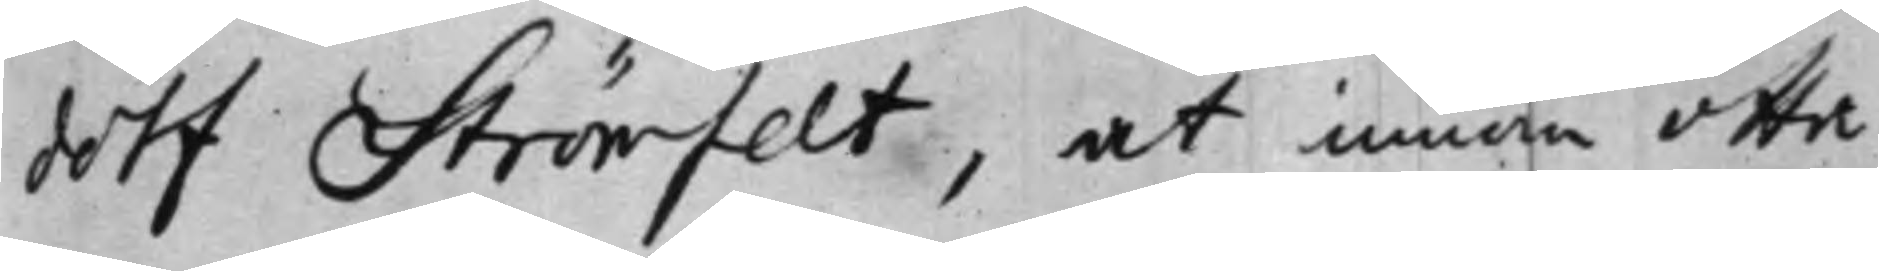dolf Strömfelt, at innom otta
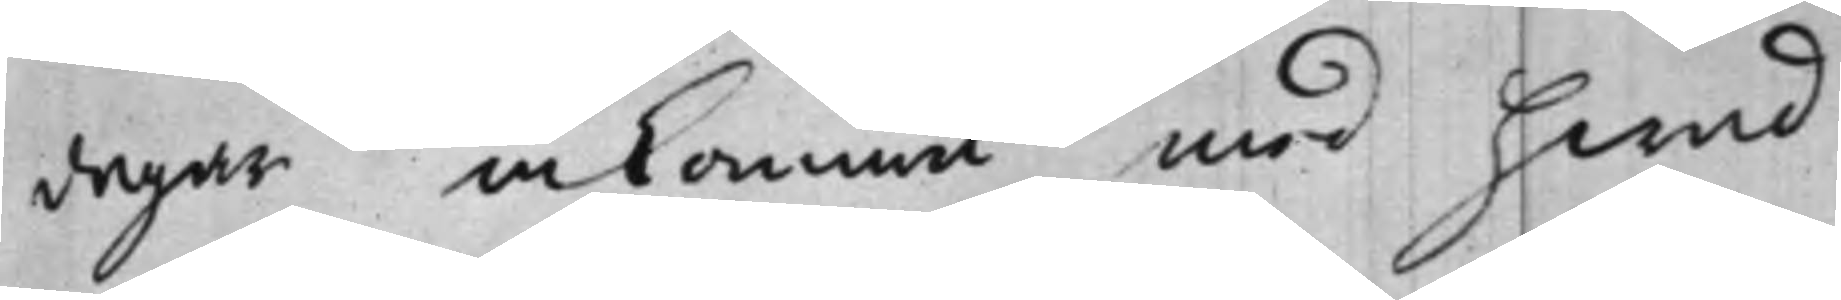dagar inkomma med hwad
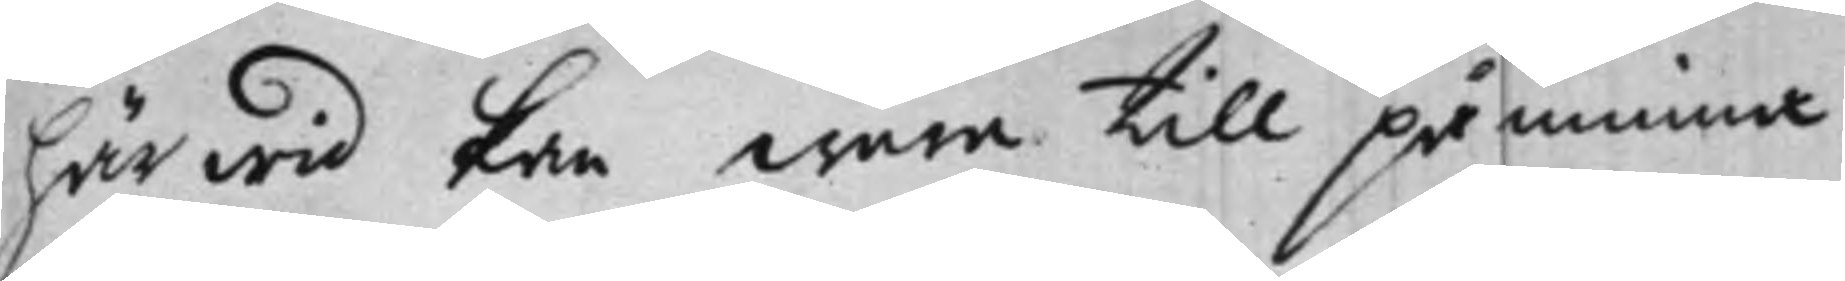härwid kan wara till påminna,
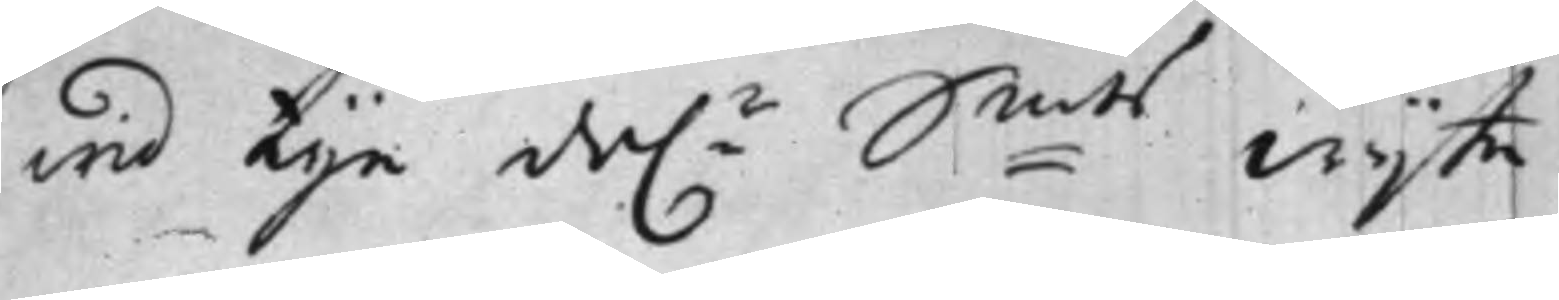wid tije da.r S:mts wijte.
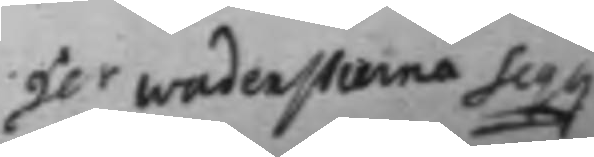He.r Wadenstierna Seq.g
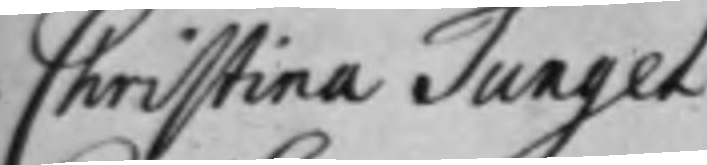Christina Tungel
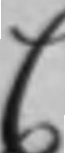C
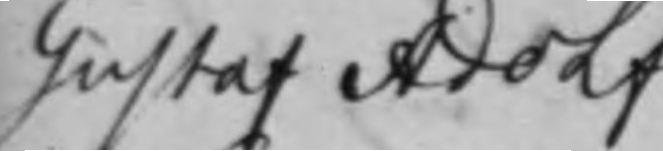Gustaf Adolf
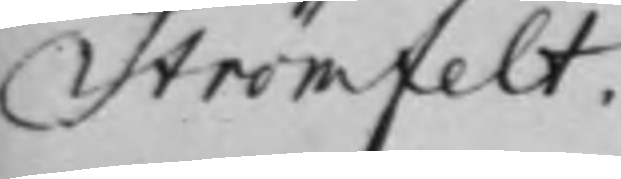Strömfelt.
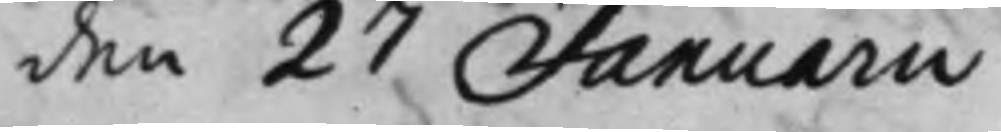den 27 Januarii
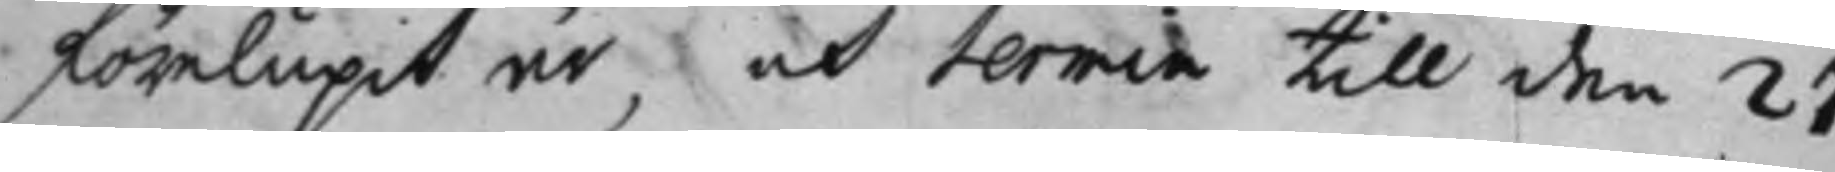förelupit år, och termin till den 27
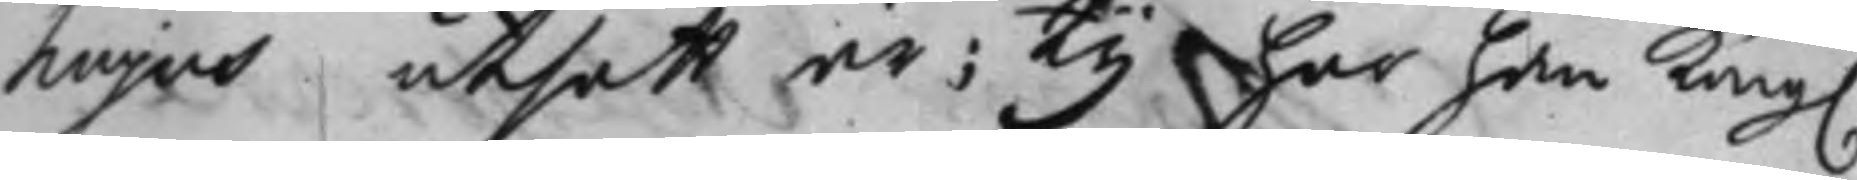hujus utsatt är; Ty har han Kong.
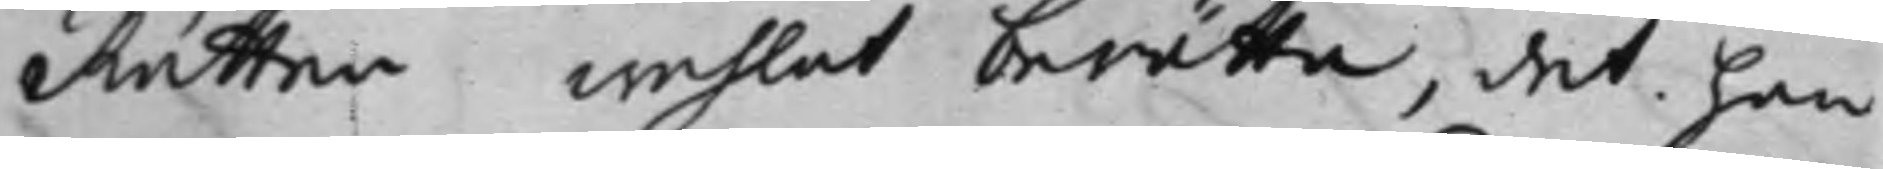Rätten wehlat berätta, det han
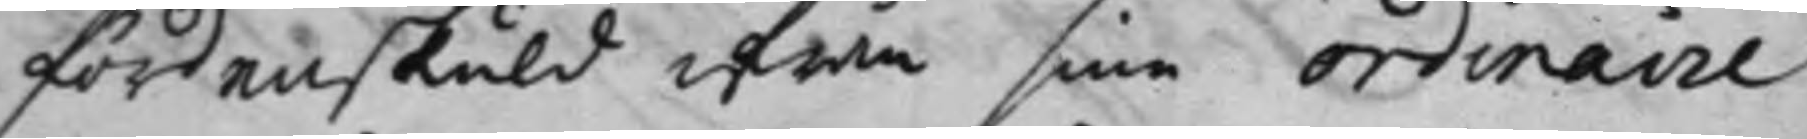fördenskuld ifrån sine ordinaire
